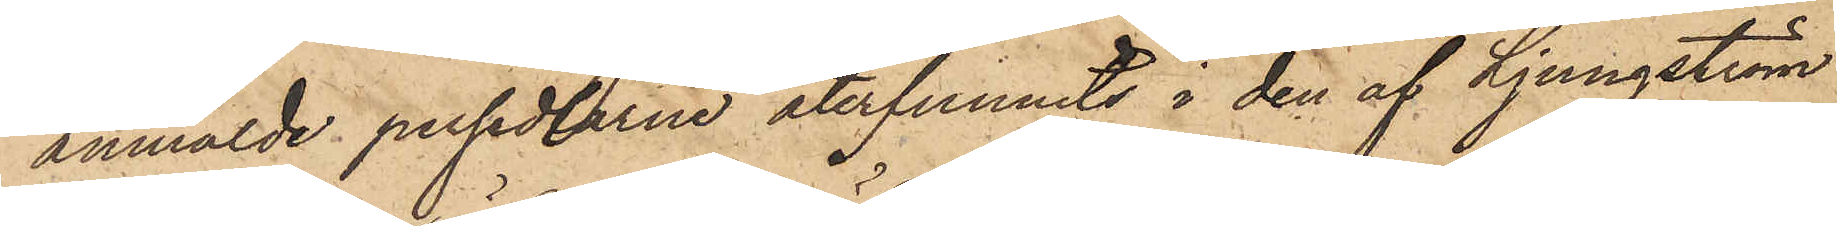anmälde persedlarne återfunnits i den af Ljungström
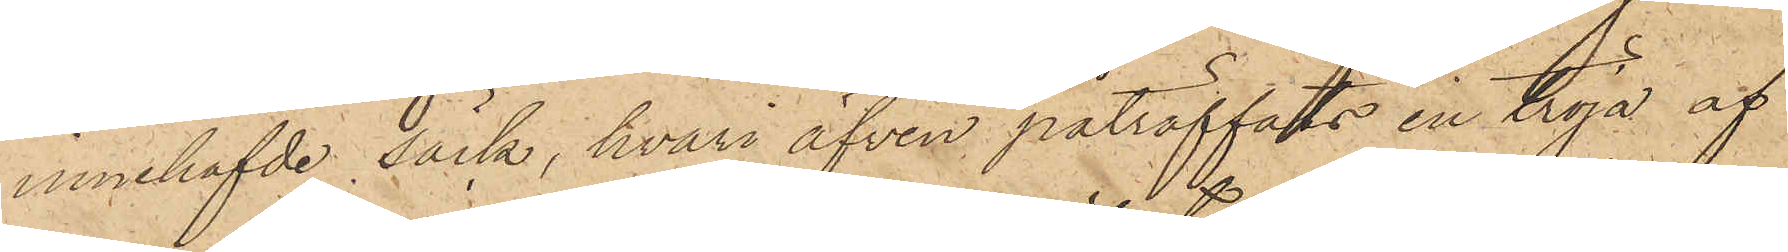innehafde säck, hvari äfven påträffats en tröja af
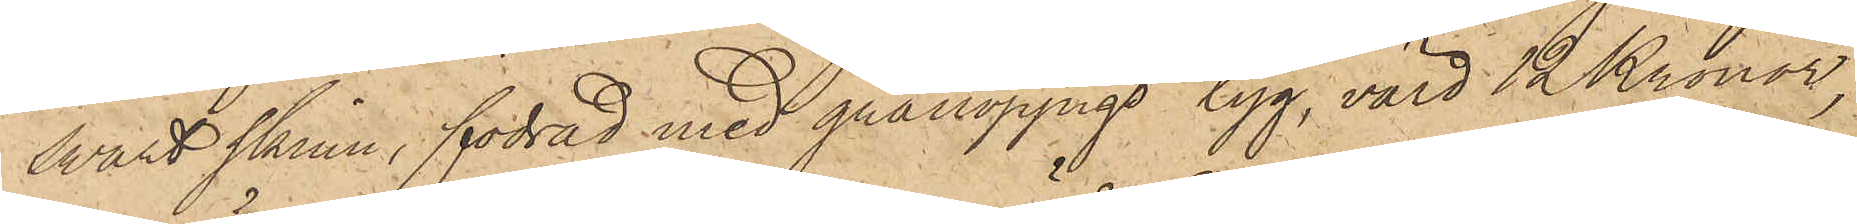svart skinn, fodrad med grånoppigt tyg, värd 12 Kronor,
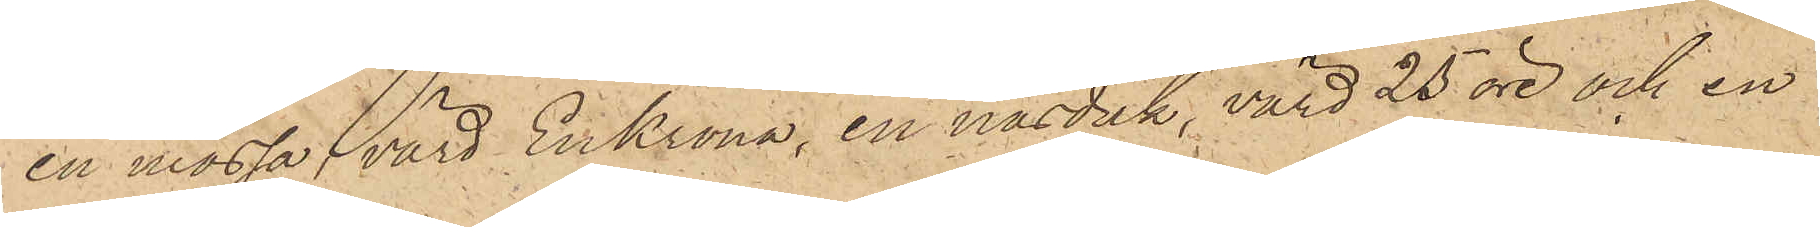en mössa, värd En Krona, en näsduk, värd 25 öre och en
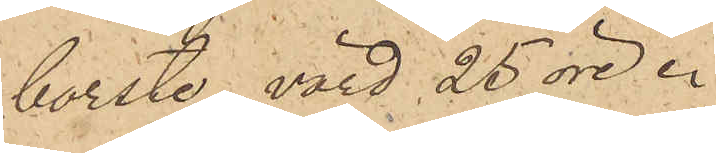borste, värd 25 öre.
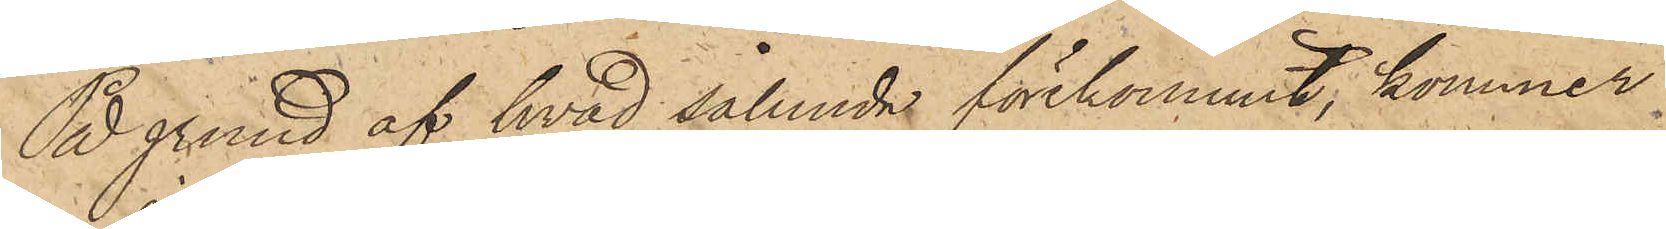På grund af hvad sålunda förekommit, kommer
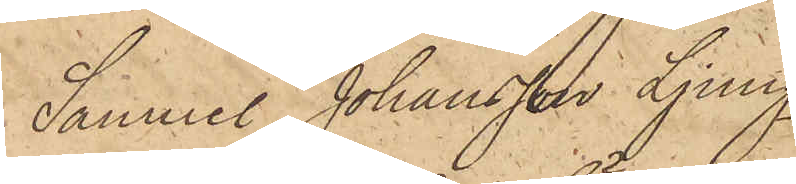Samuel Johansson Ljung¬
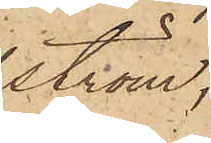ström,
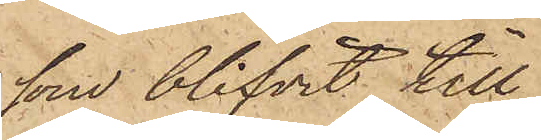som blifvit till
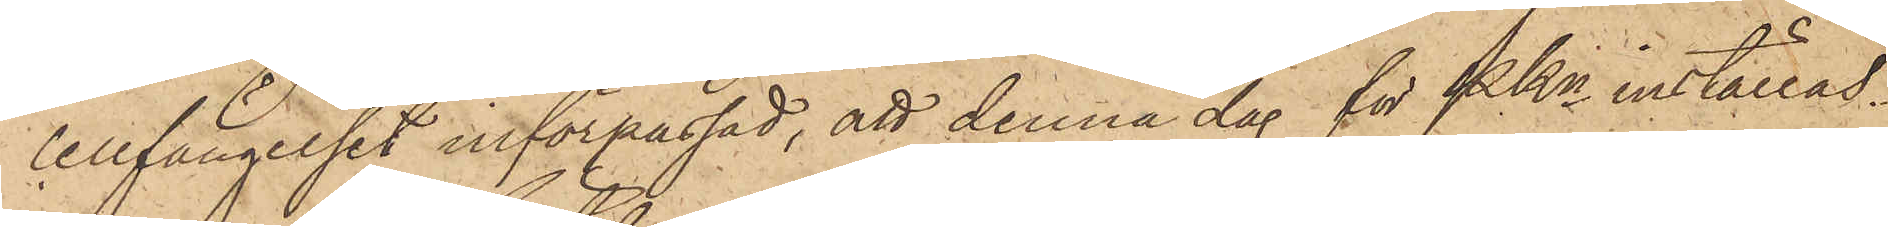cellfängelset införpassad, att denna dag för PKn inställas.
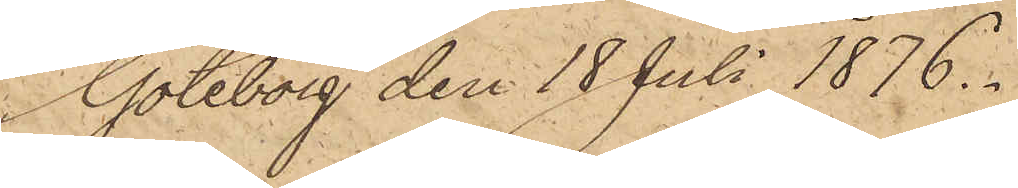Göteborg den 18 Juli 1876.
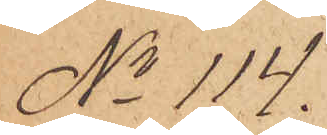No 114.
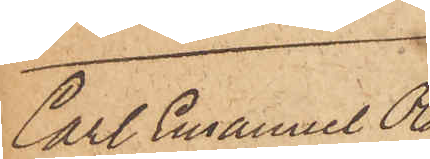Carl Emanuel Ola¬
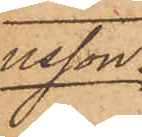usson
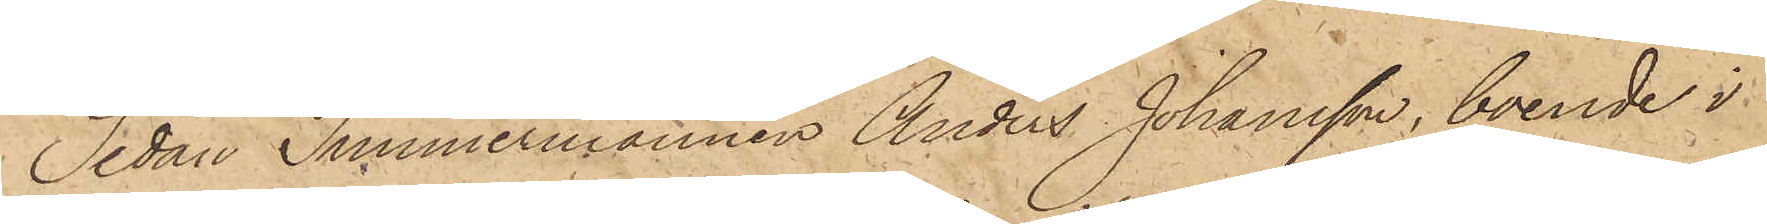Sedan Timmermannen Anders Johansson, boende i
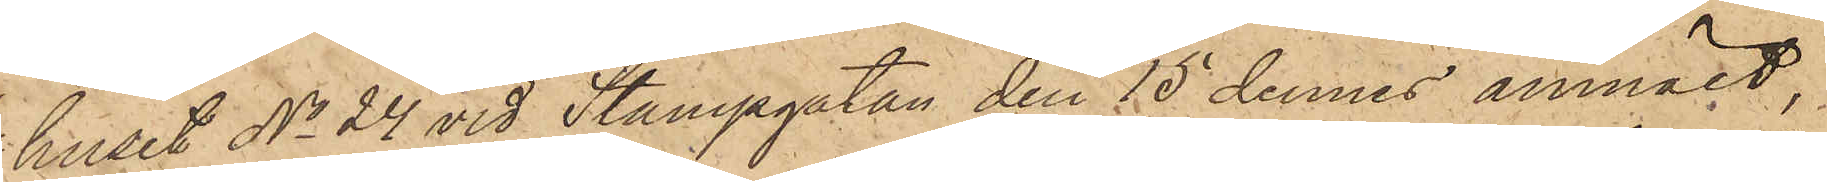huset No 24 vid Stampgatan den 15 dennes anmält,
